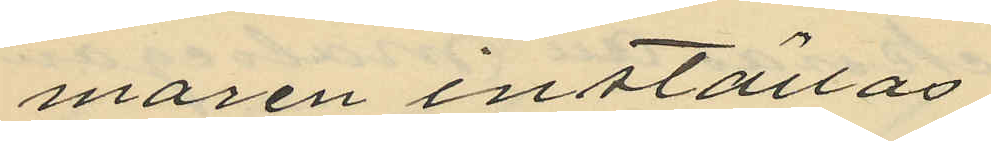maren inställas.
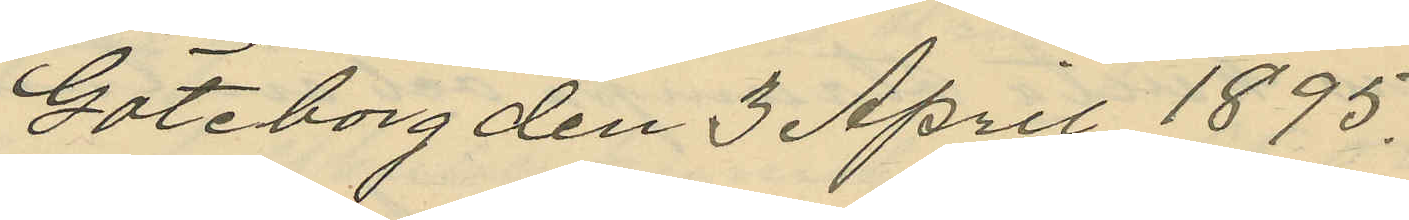Göteborg den 3 April 1895.
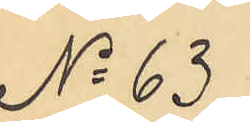No 63
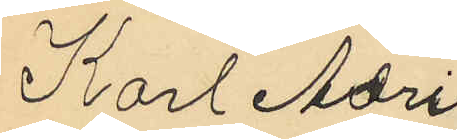Karl Adri¬
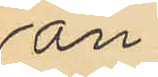an
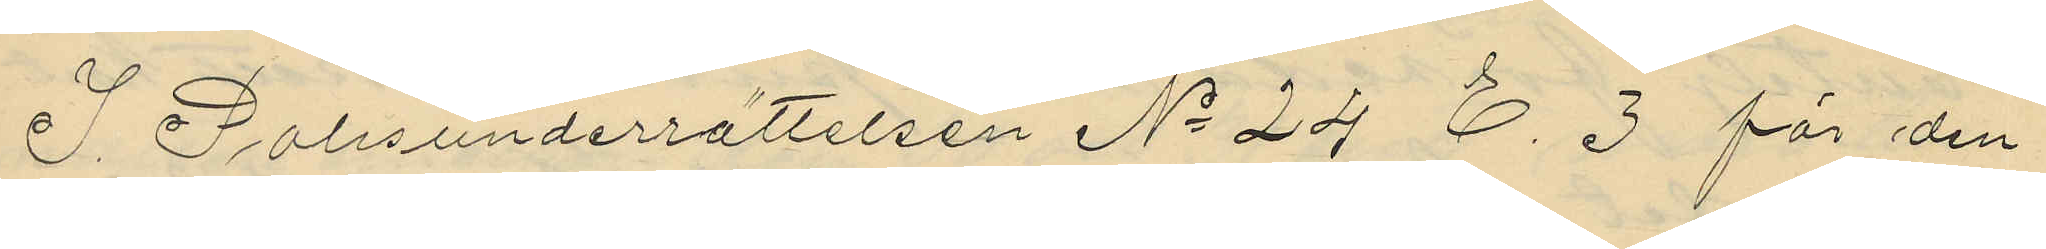I Polisunderrättelsen No 24 E. 3 för den
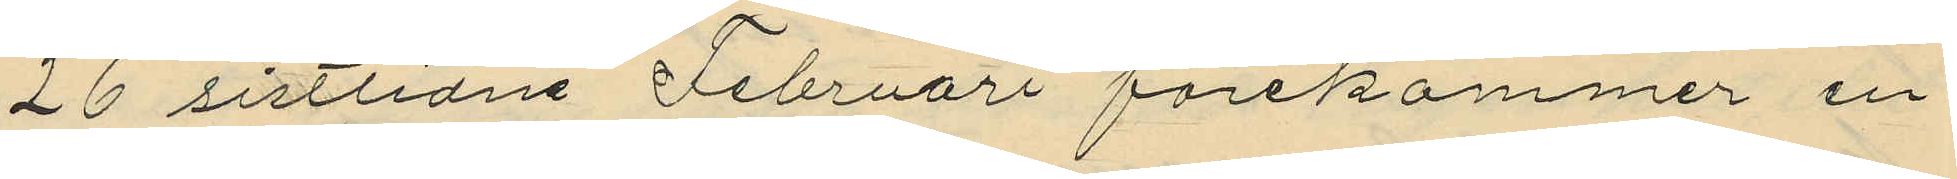26 sistlidne Februari förekommer en
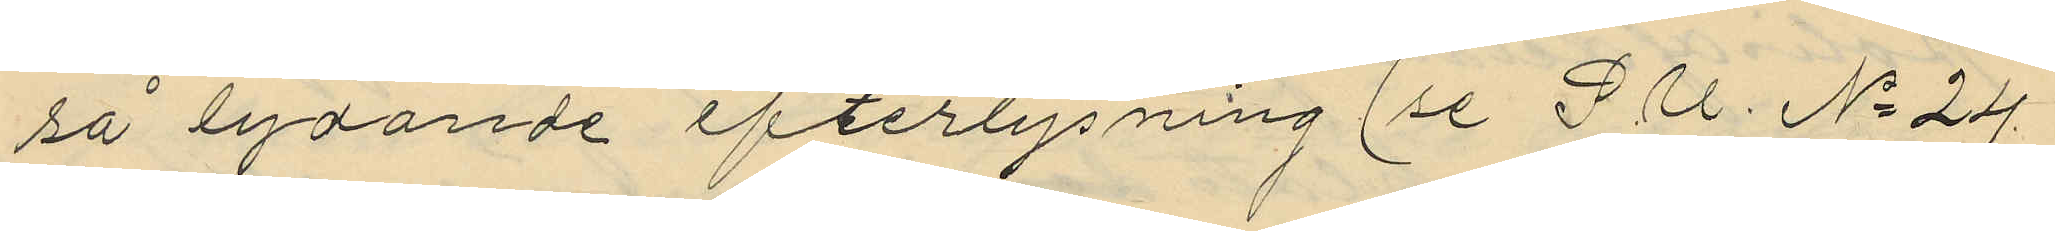så lydande efterlysning (se P. U. No 24
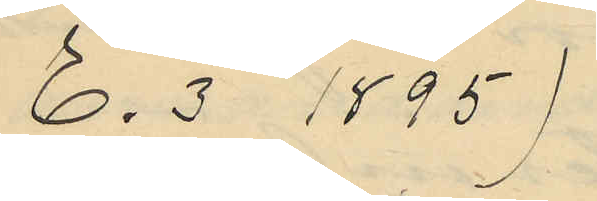E. 3 1895)
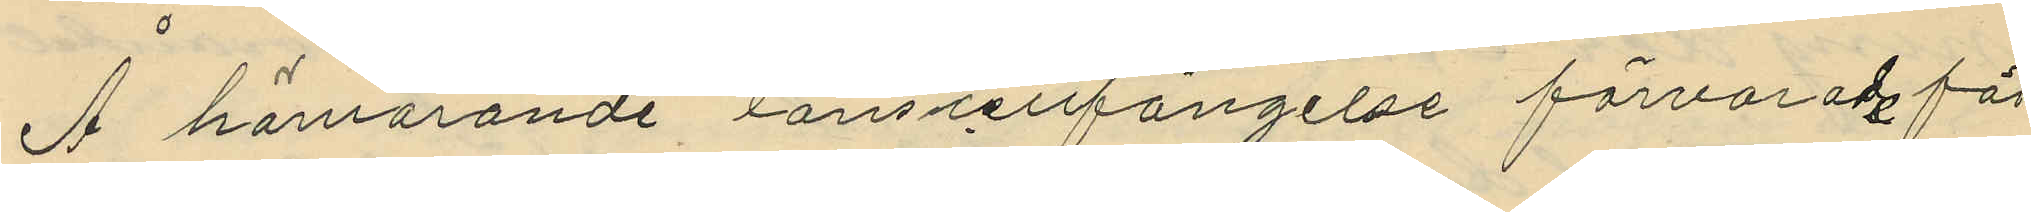Å härvarande länscellfängelse förvarad för
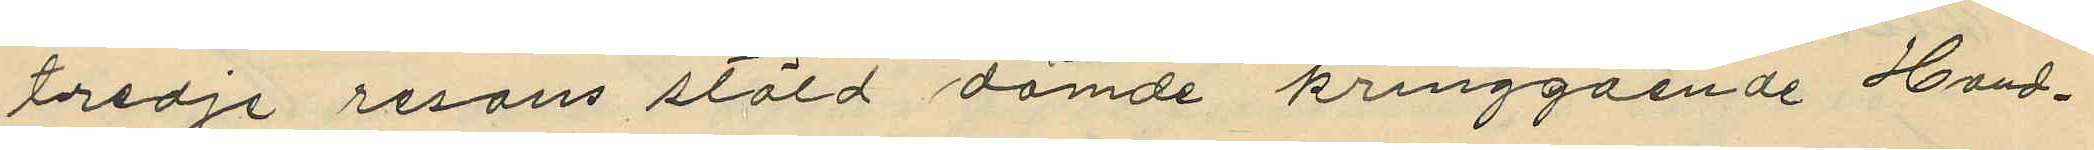tredje resans stöld dömde kringgående Hand¬
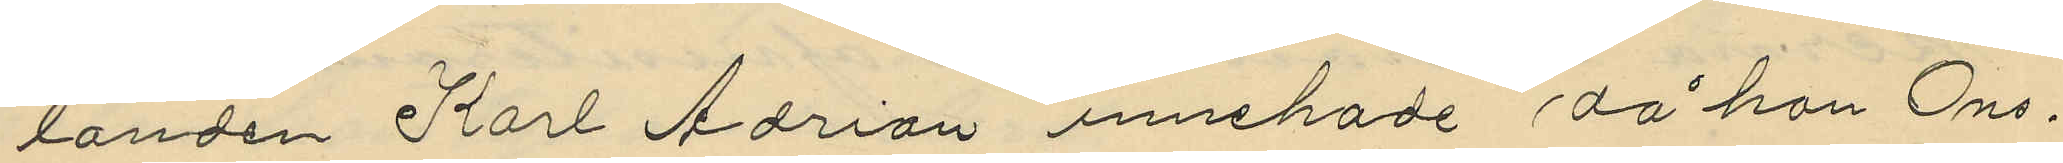landen Karl Adrian innehade då han Ons¬
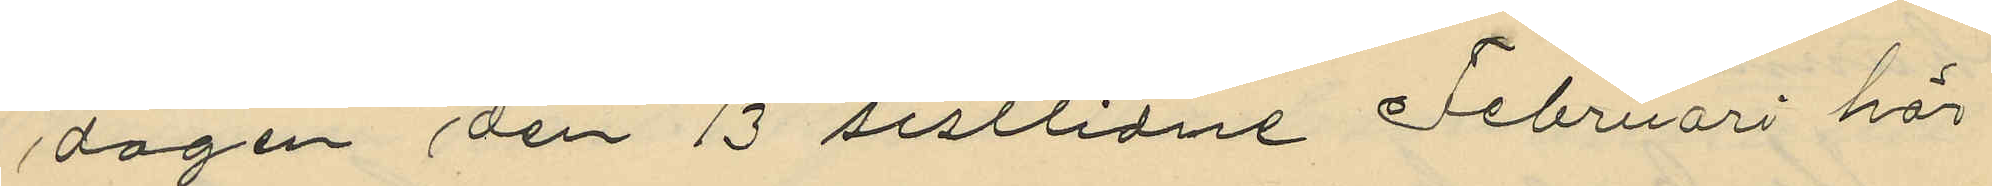dagen den 13 sistlidne Februari här
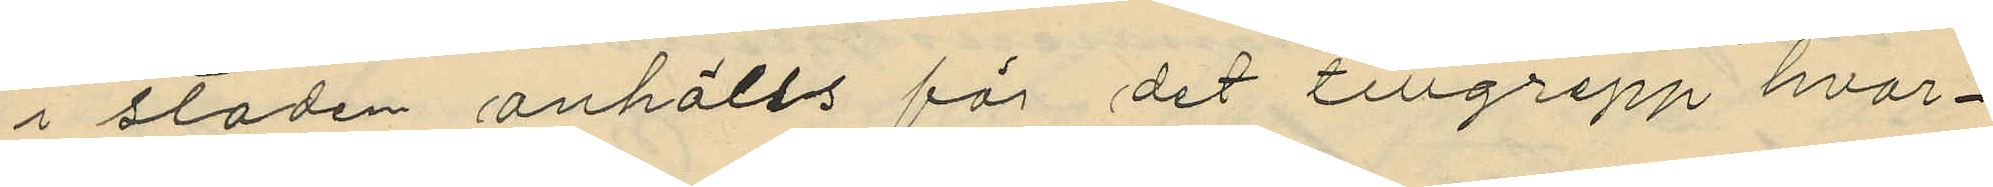i staden anhölls för det tillgrepp hvar¬
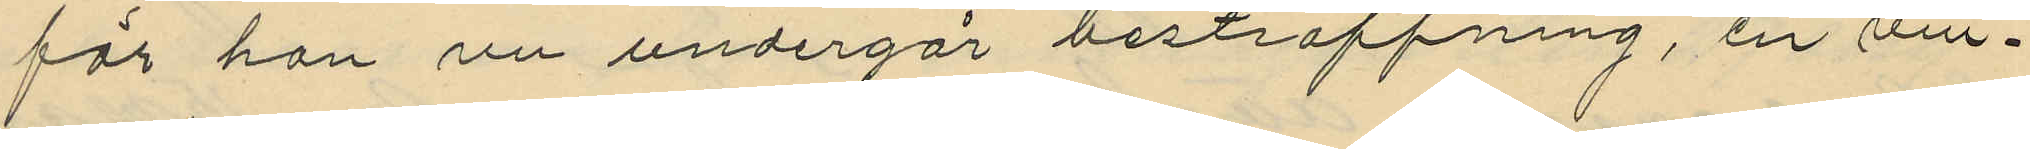för han nu undergår bestraffning, en vin¬
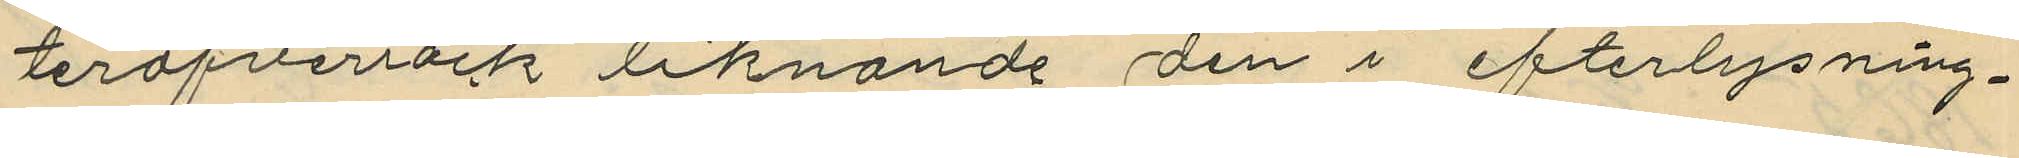teröfverrock liknande den i efterlysning¬
